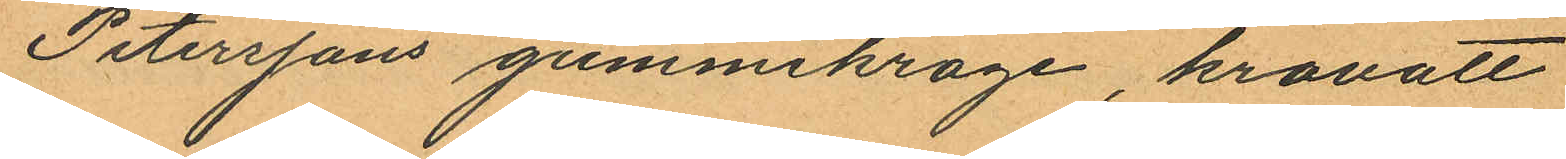Peterssons gummikrage, kravatt
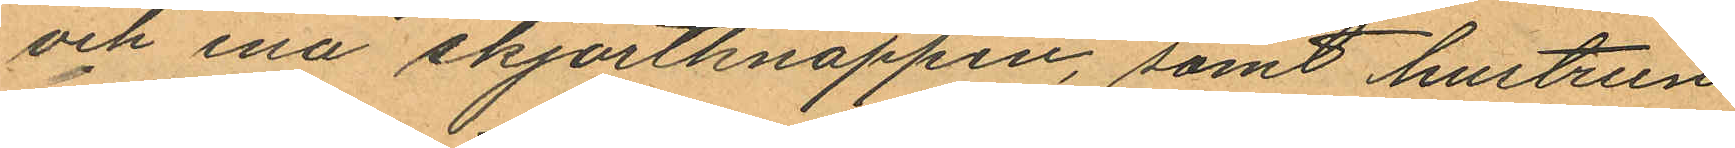och ena skjortknappen, samt hustrun
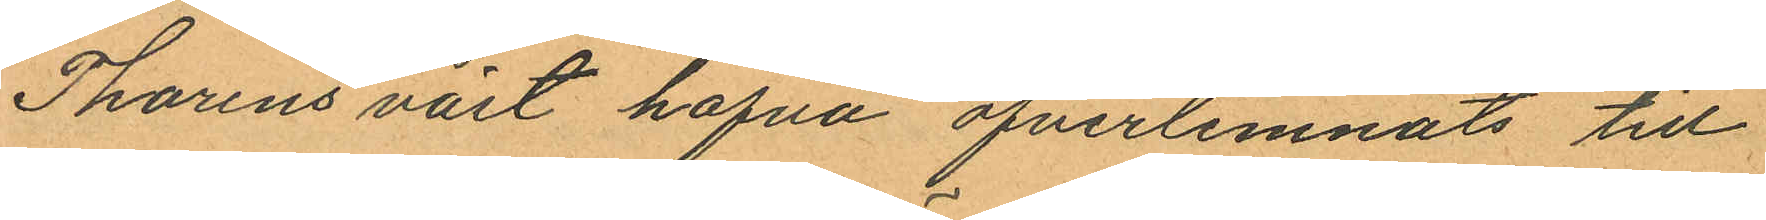Thorins väst hafva öfverlemnats till
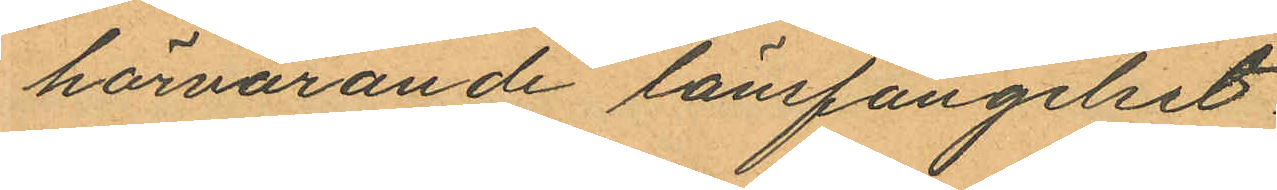härvarande länsfängelset.
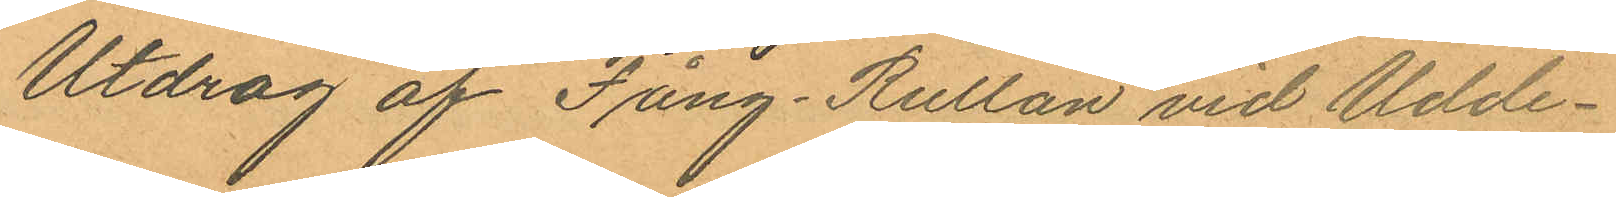Utdrag af Fång-Rullan vid Udde¬
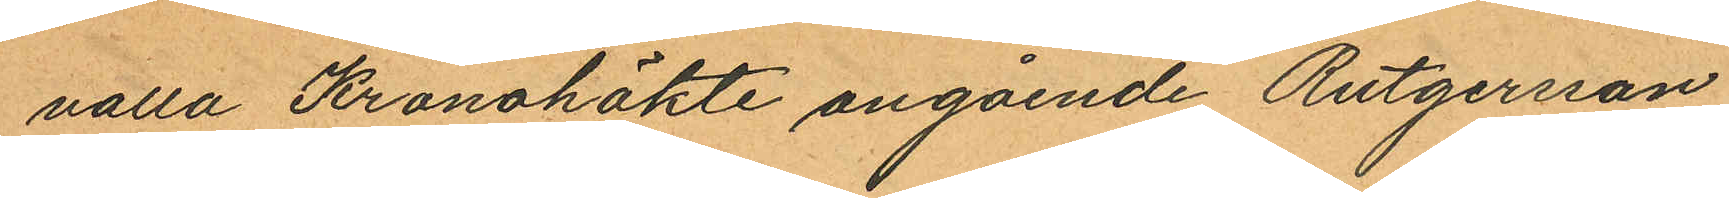valla Kronohäkte angående Rutgersson
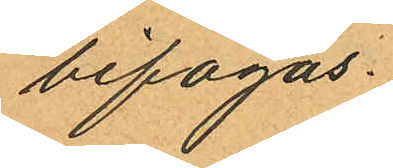bifogas.
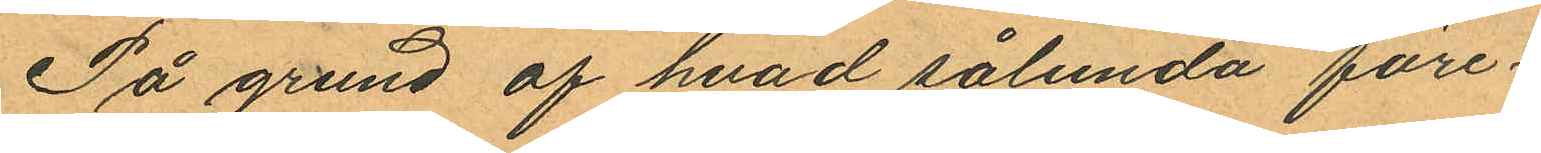På grund af hvad sålunda före¬
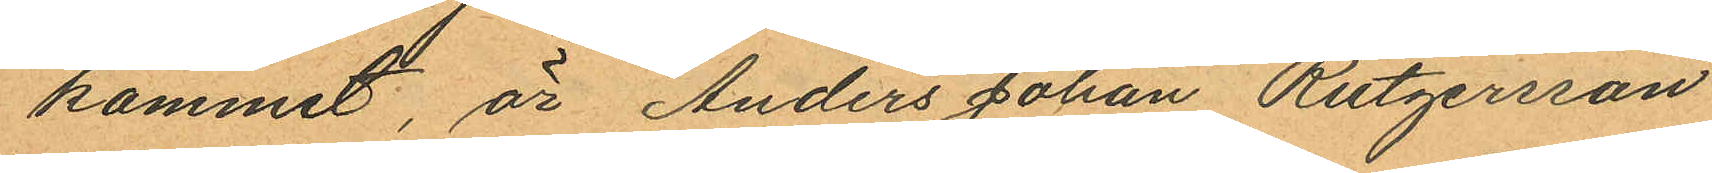kommit, är Anders Johan Rutgersson
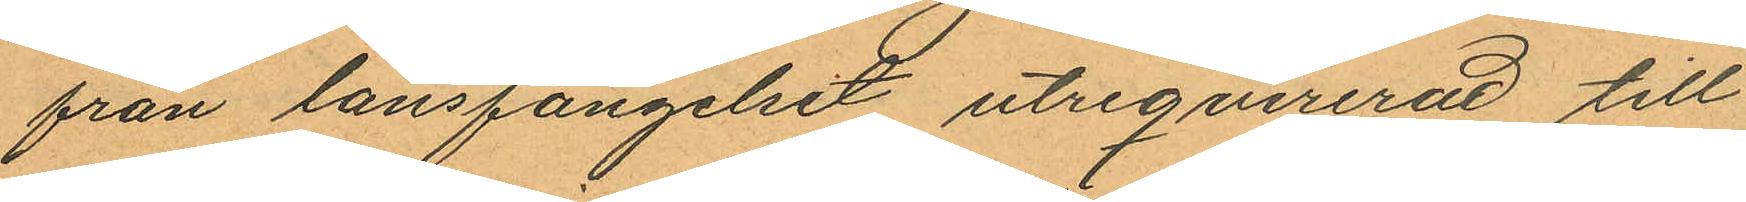från länsfängelset utreqvirerad till
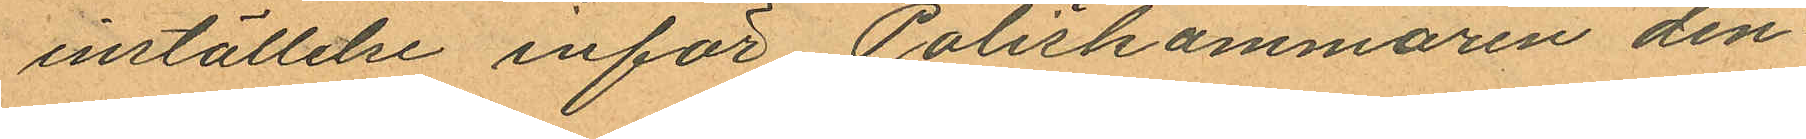inställelse inför Poliskammaren den¬
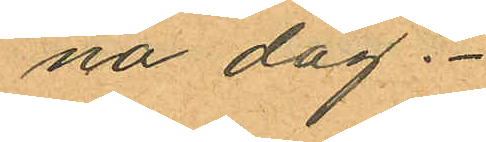na dag.
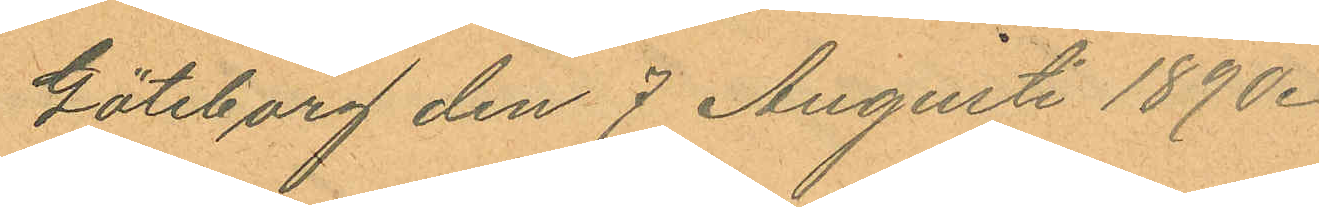Göteborg den 7 Augusti 1890.
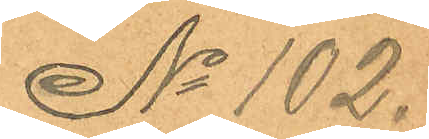No 102.
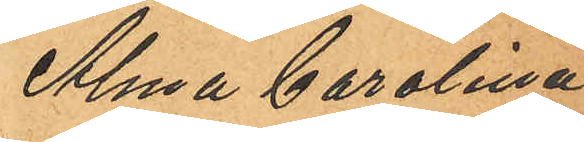Alma Carolina
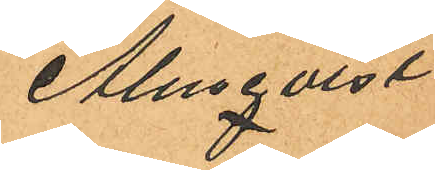Almqvist
